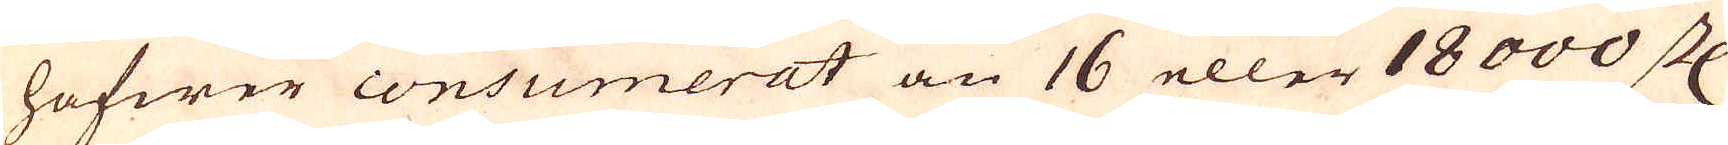hafwer consumerat än 16 eller 18000 st
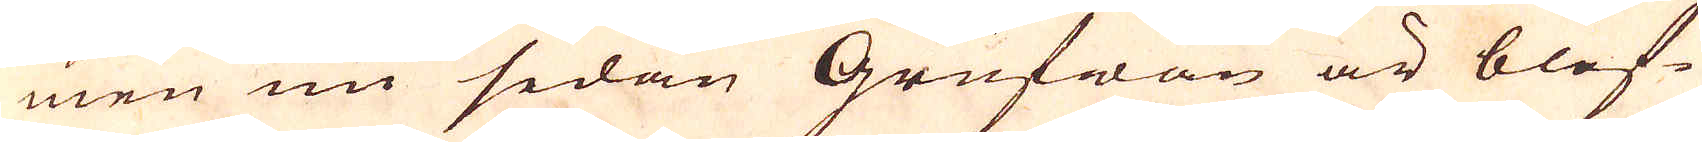men nu sedan Grufwan är blef-
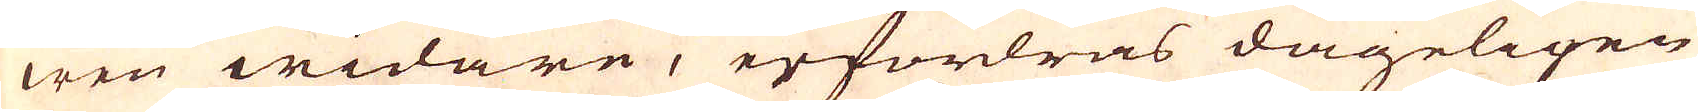wen widare, erfordras dageligen
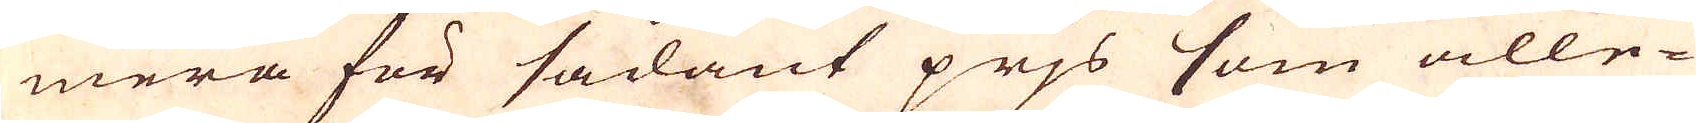mera för sådant prjs som alle-
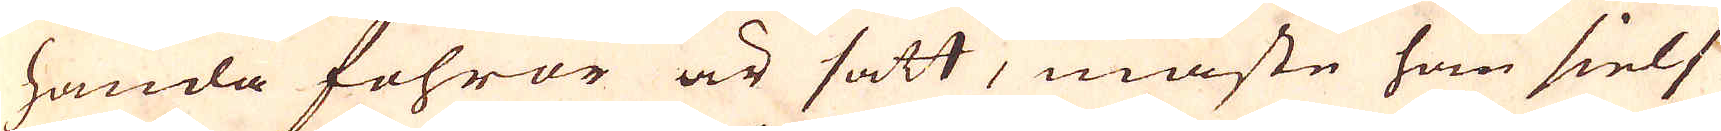handa fohror är satt, måste han sielf
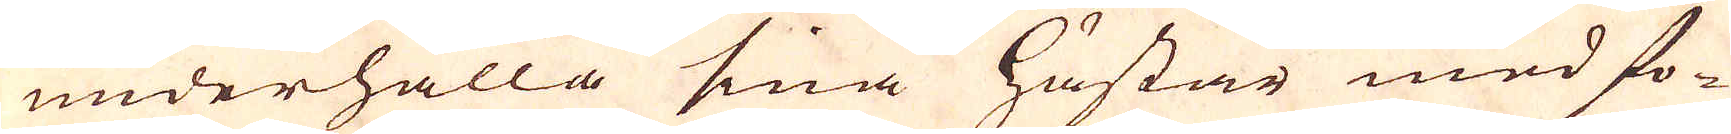underhålla sina hästar med fo-
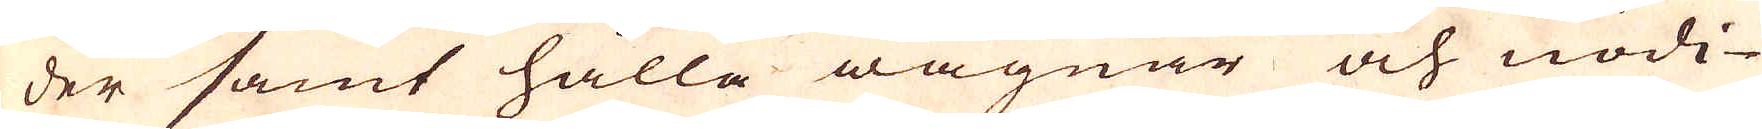der samt hålla wagnar och nödi-
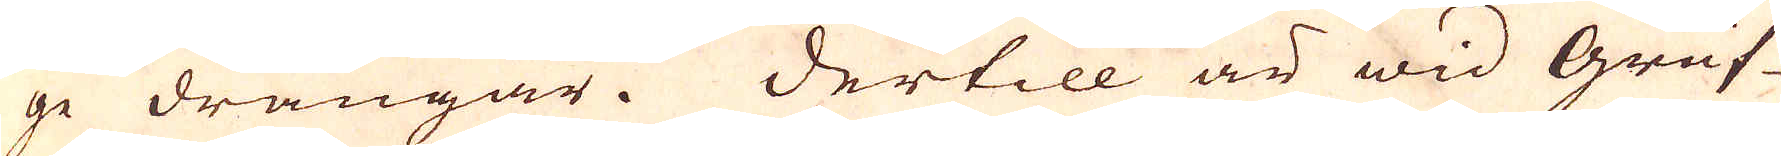ge drängar. Dertill är wid Gruf-
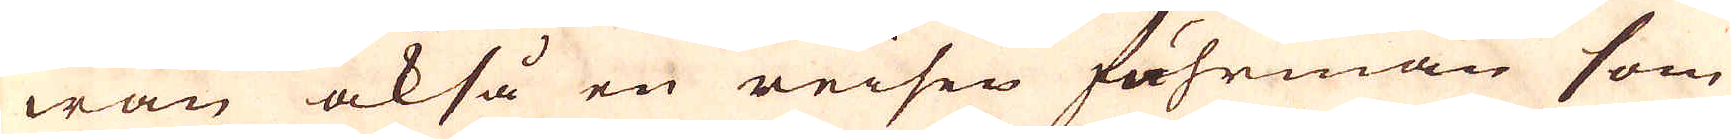wan också en reisen föhrman som
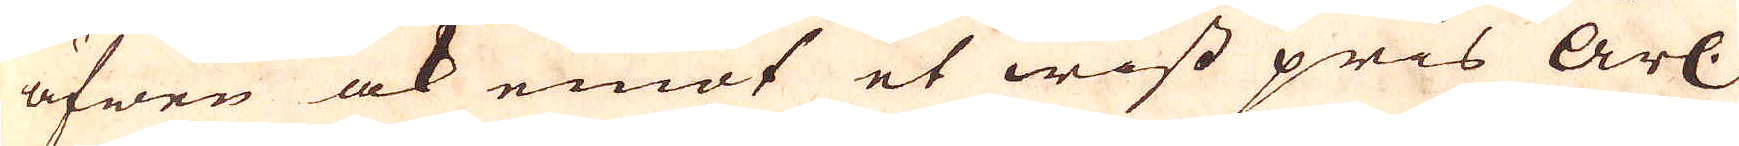äfwen ock emot et wist pris årl.
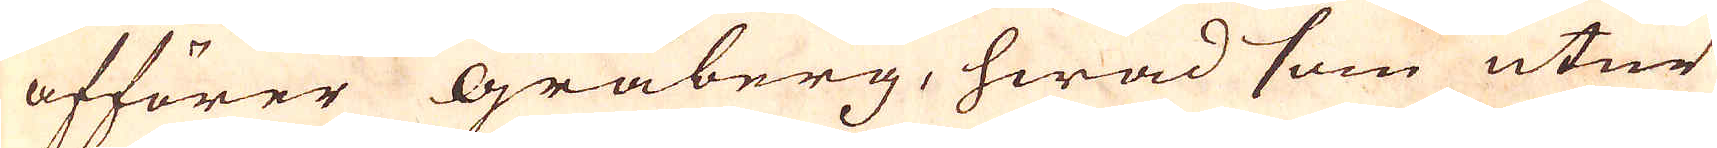afförer Gråberg, hwad som utur
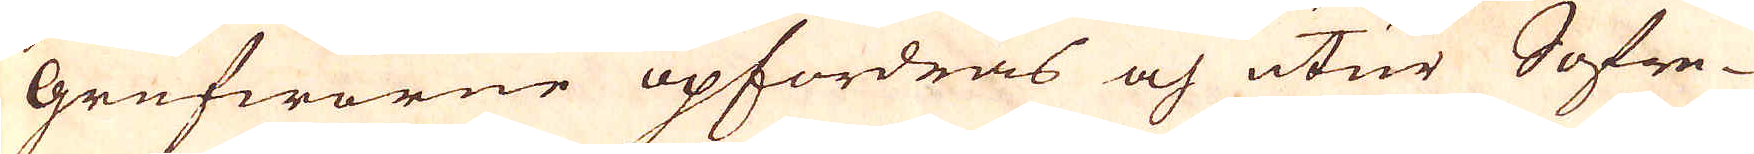grufworne opfordras och utur Sofre-
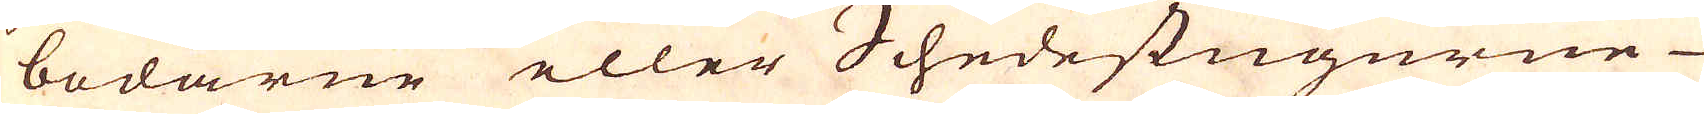bodarne eller Schedestugurne
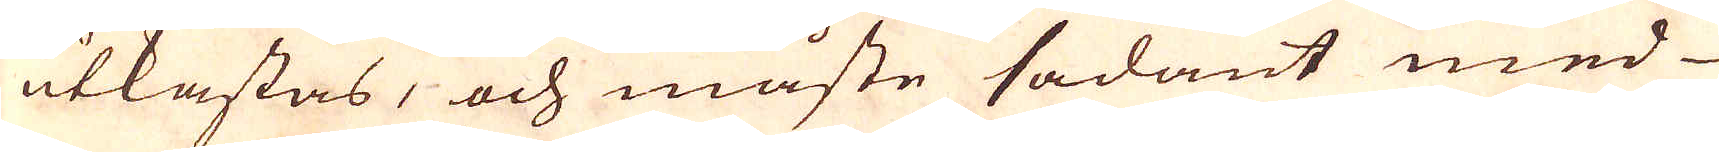utkastas, och måste sådant med
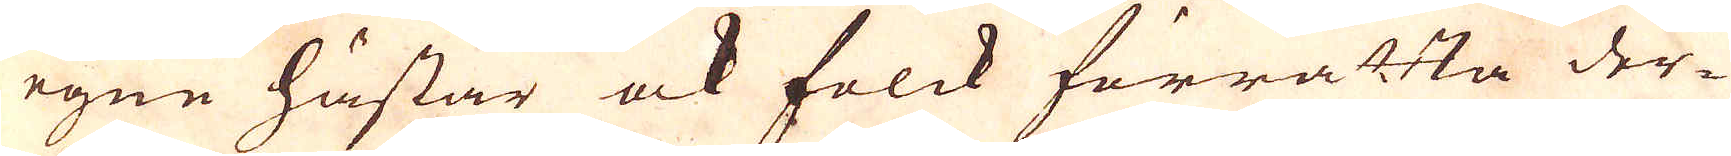egne hästar ock folck förrätta der-
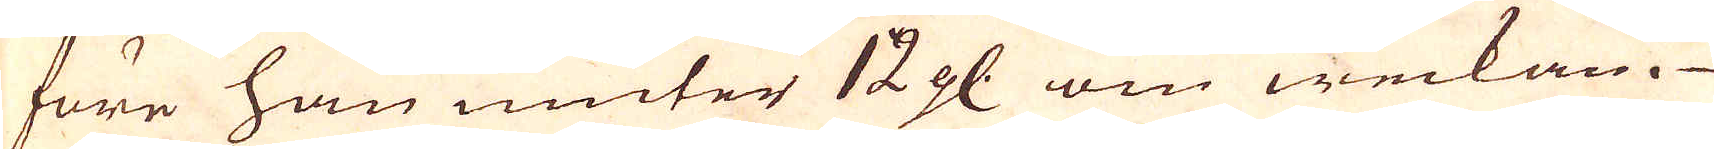före han niuter 12 gl. om weckan.
